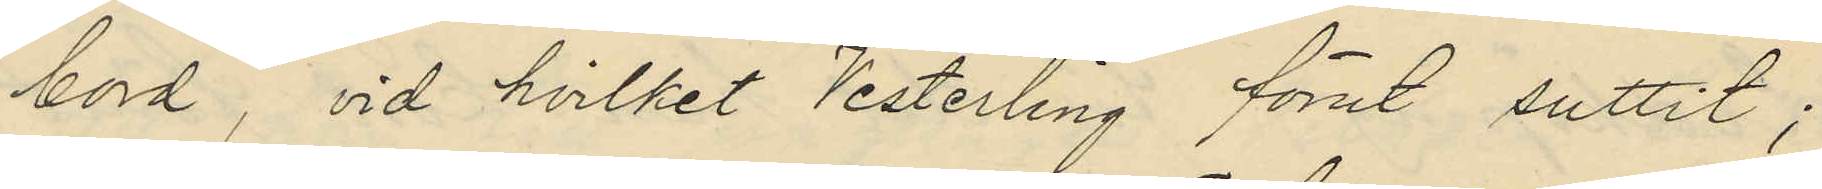bord, vid hvilket Vesterling förut suttit;
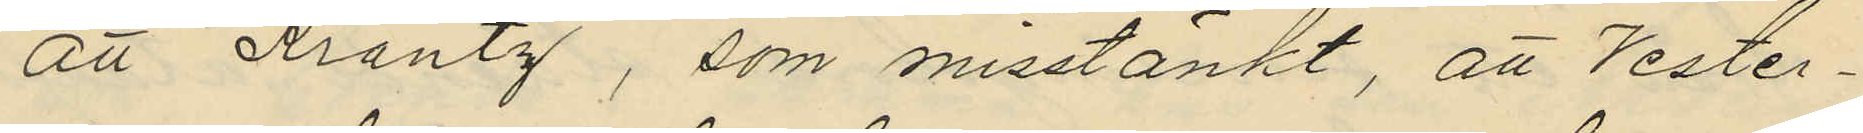att Krantz, som misstänkt, att Vester¬
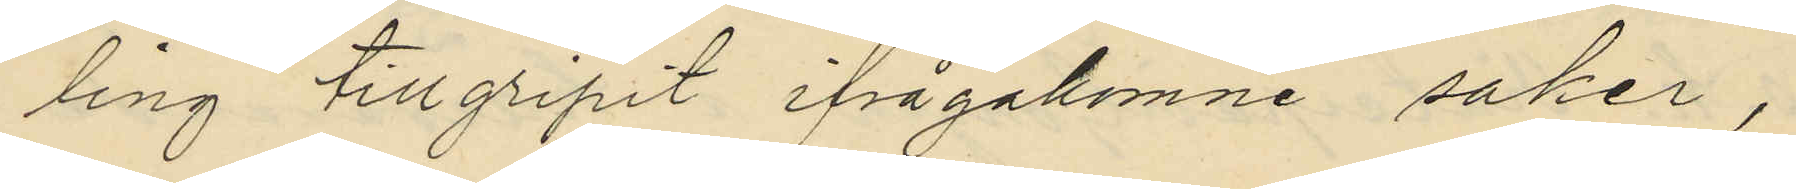ling tillgripit ifrågakomne saker,
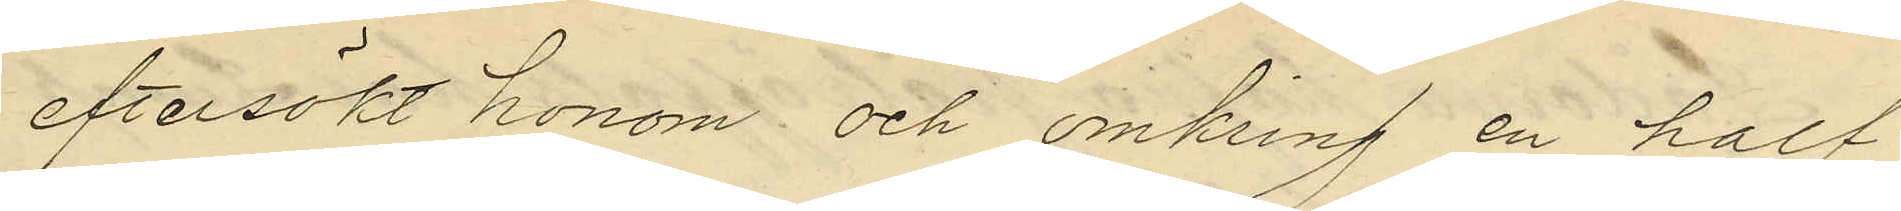eftersökt honom och omkring en half
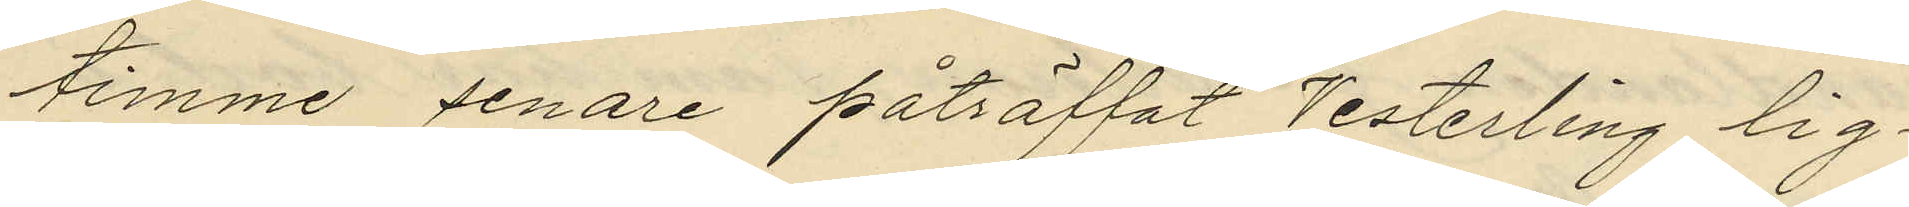timme senare påträffat Vesterling lig¬
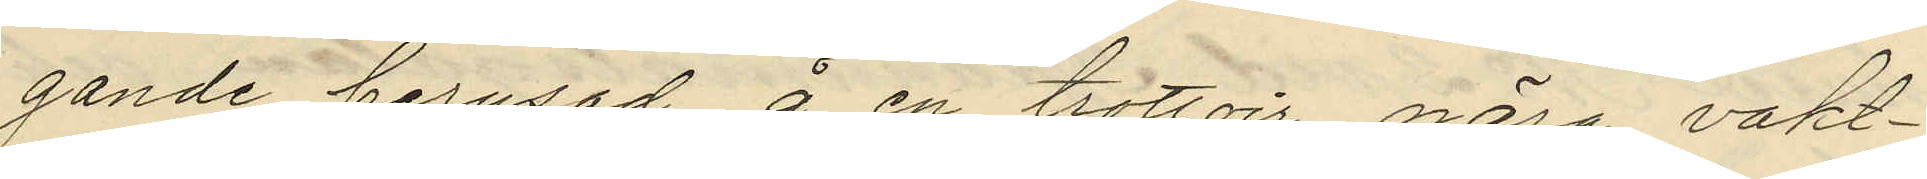gande berusad å en trottoir nära vakt¬
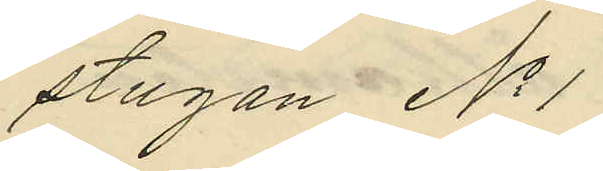stugan No 1
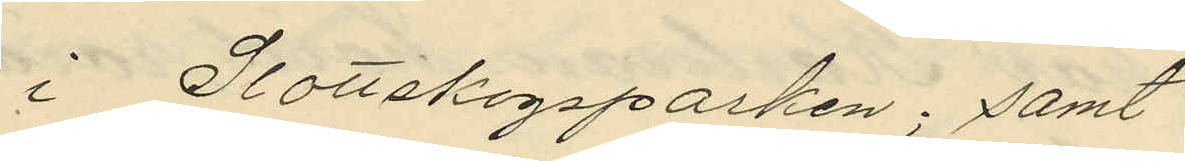i Slottskogsparken; samt
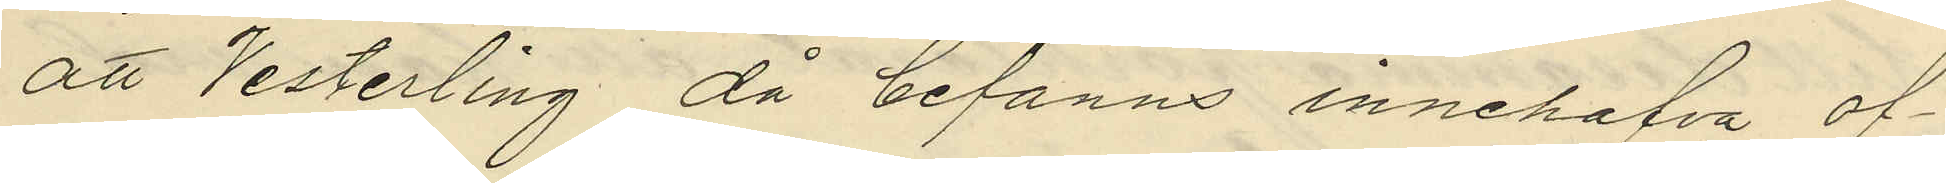att Vesterling då befanns innehafva of¬
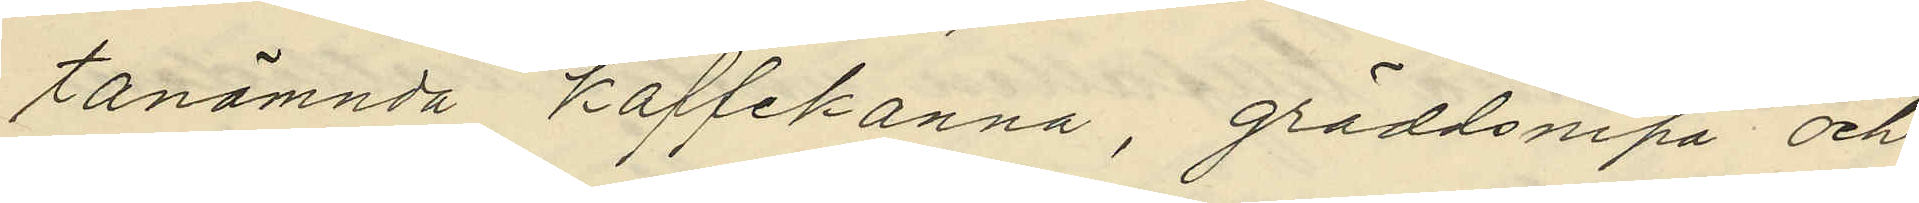tanämnda kaffekanna, gräddsnipa och
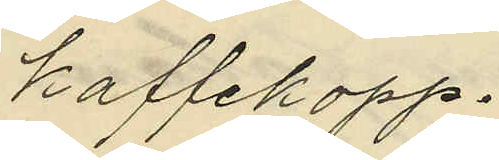kaffekopp.
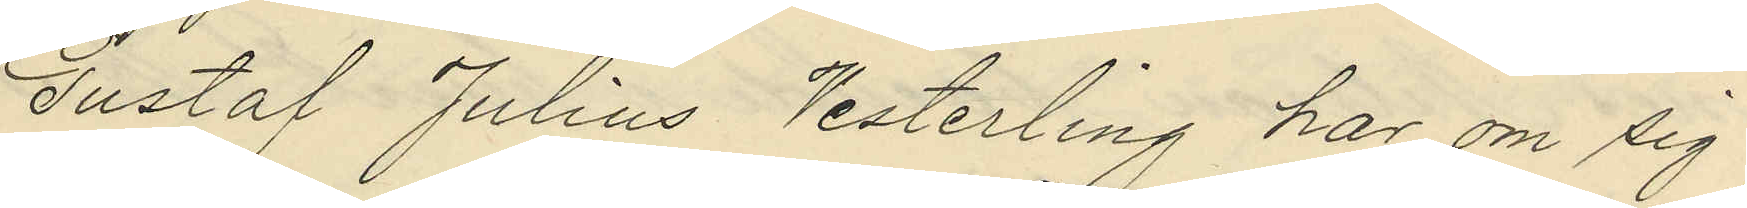Gustaf Julius Vesterling har om sig
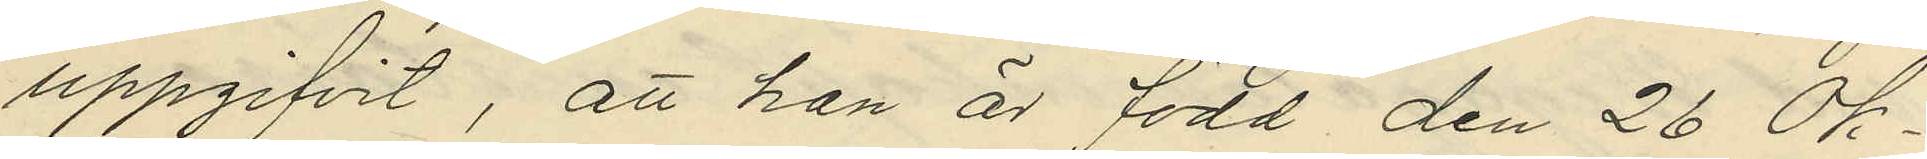uppgifvit, att han är född den 26 Ok¬
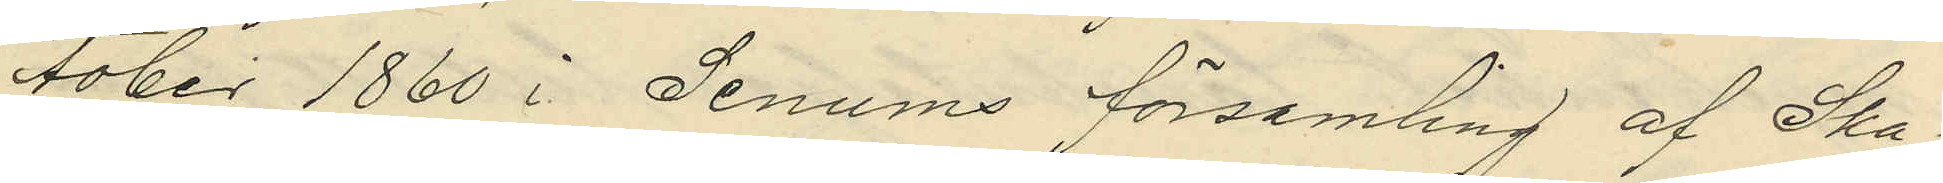tober 1860 i Senums församling af Ska¬
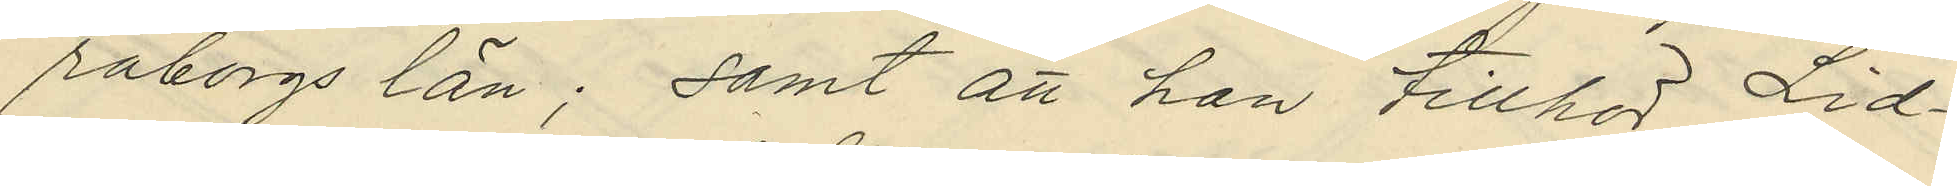raborgs län; samt att han tillhör Lid¬
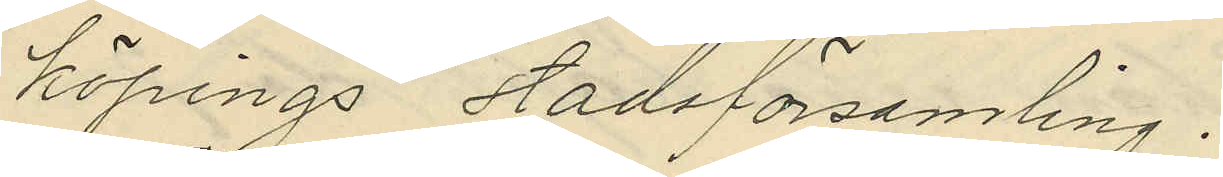köpings stadsförsamling.
